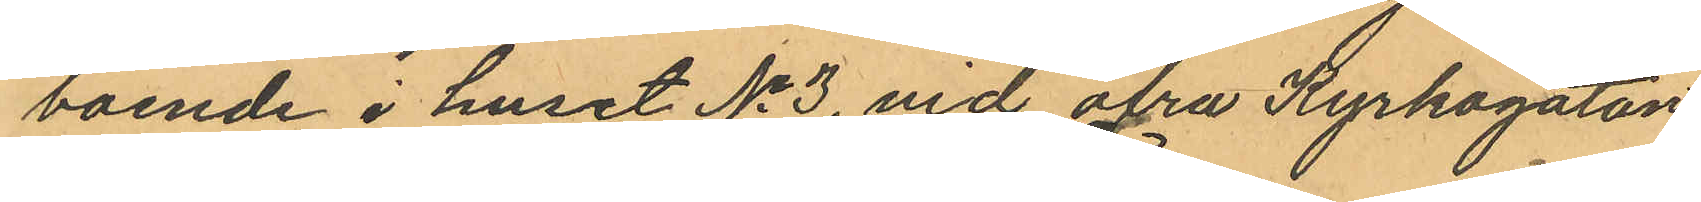boende i huset No 3, vid öfra Kyrkogatan
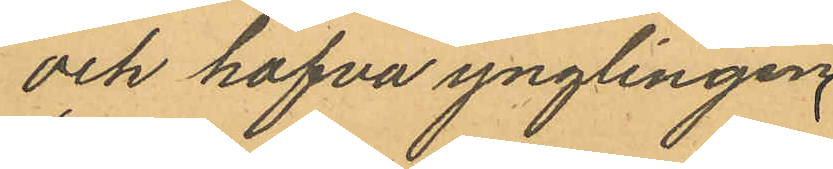och hafva ynglingen
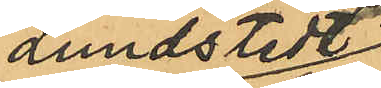Lundstedt
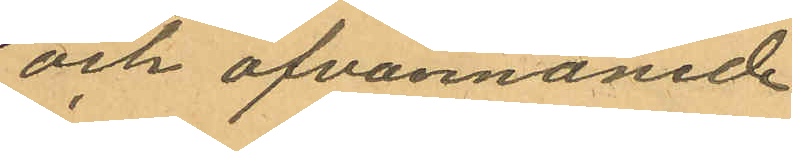och ofvannämde
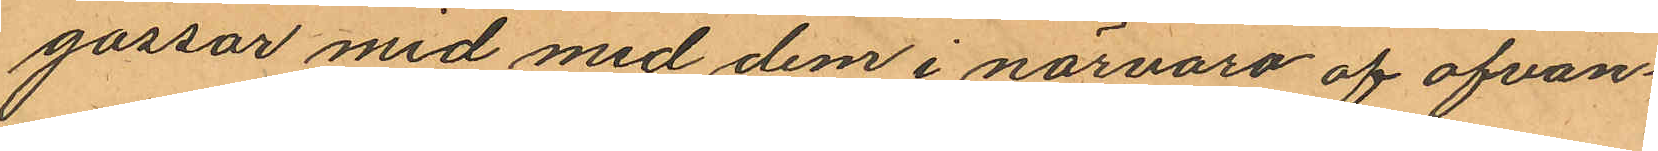gossar mid med dem i närvaro af ofvan¬
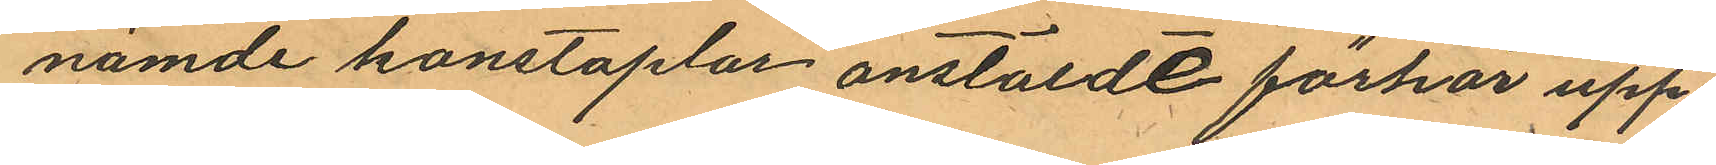nämde konstaplar anstälde förhör upp¬
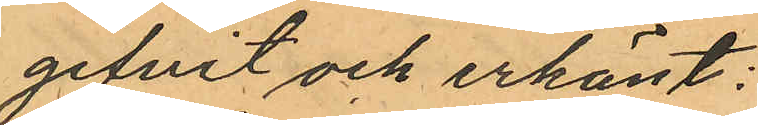gifvit och erkänt:
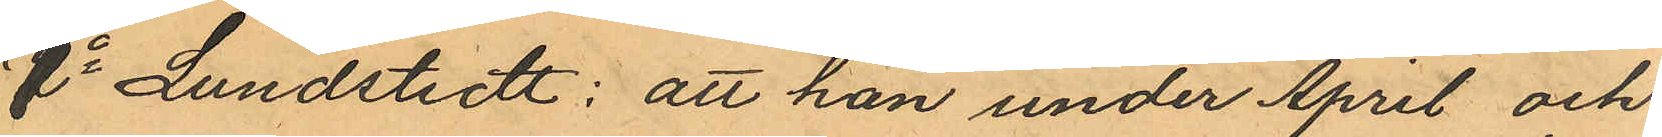1o Lundstedt: att han under April och
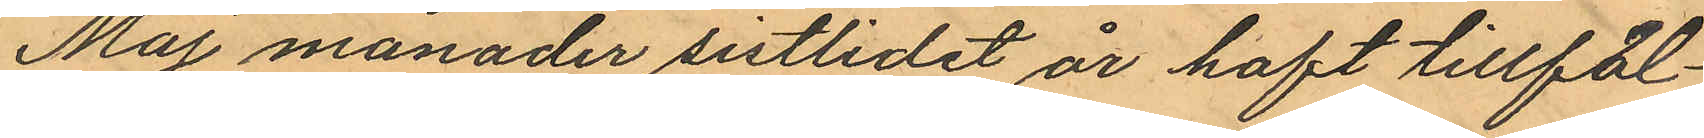Maj månader sistlidet år haft tillfäl¬
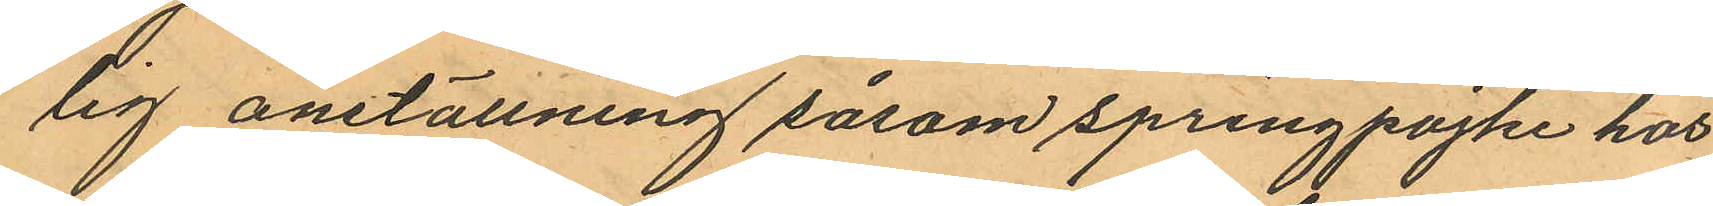lig anställning såsom springpojke hos
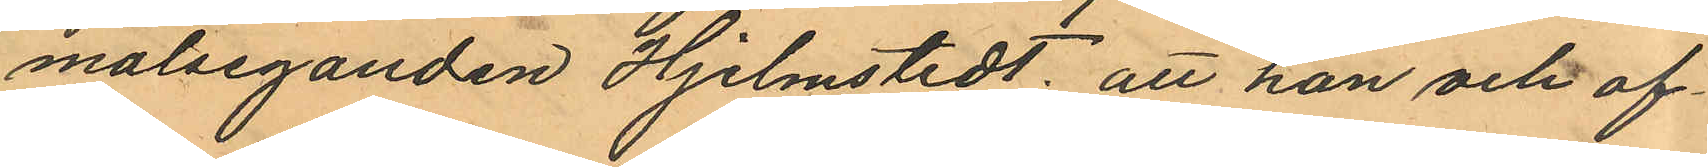målseganden Hjelmstedt; att han och of¬
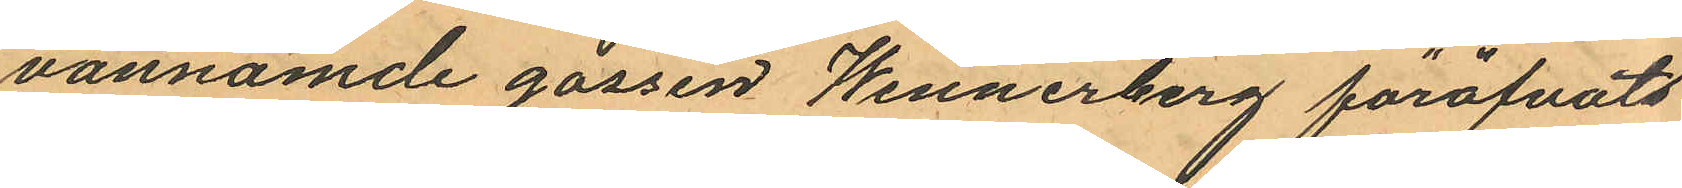vannämde gossen Wennerberg föröfvat
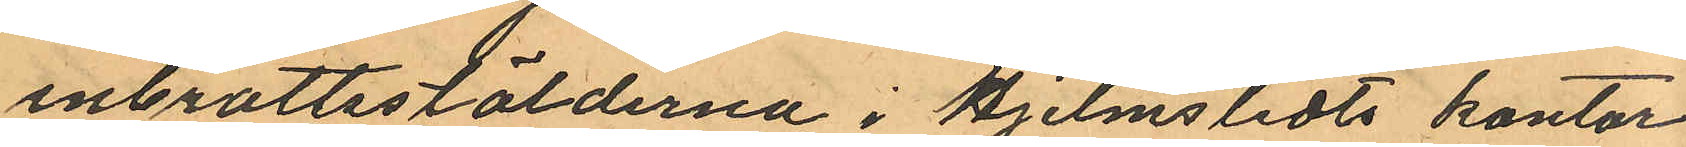inbrottsstölderna i Hjelmstedts kontor
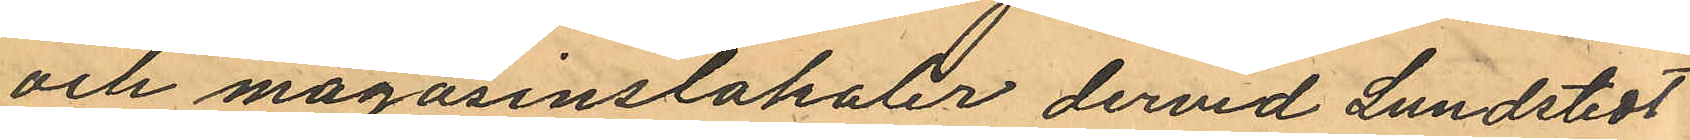och magasinslokaler dervid Lundstedt
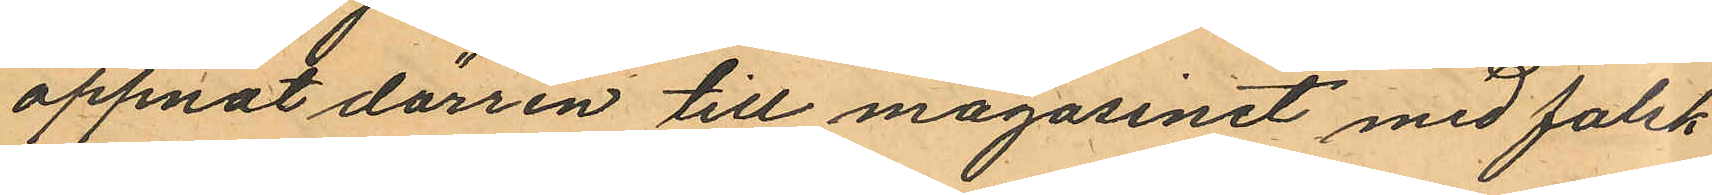öppnat dörren till magasinet med falsk
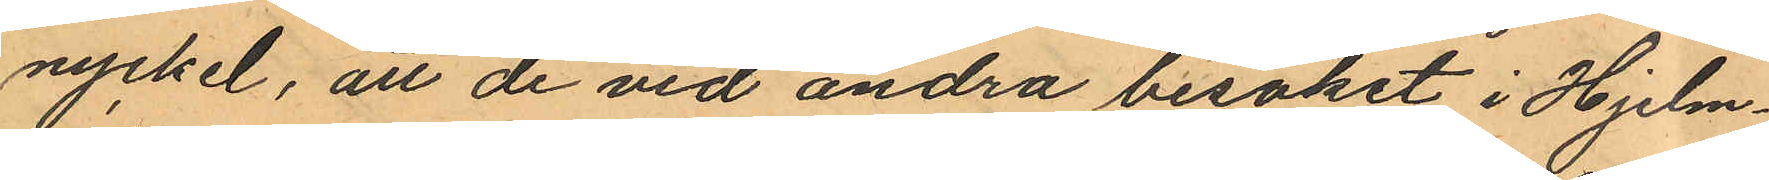nyckel, att de vid andra besöket i Hjelm¬
